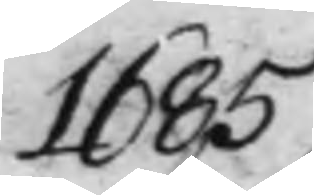1685
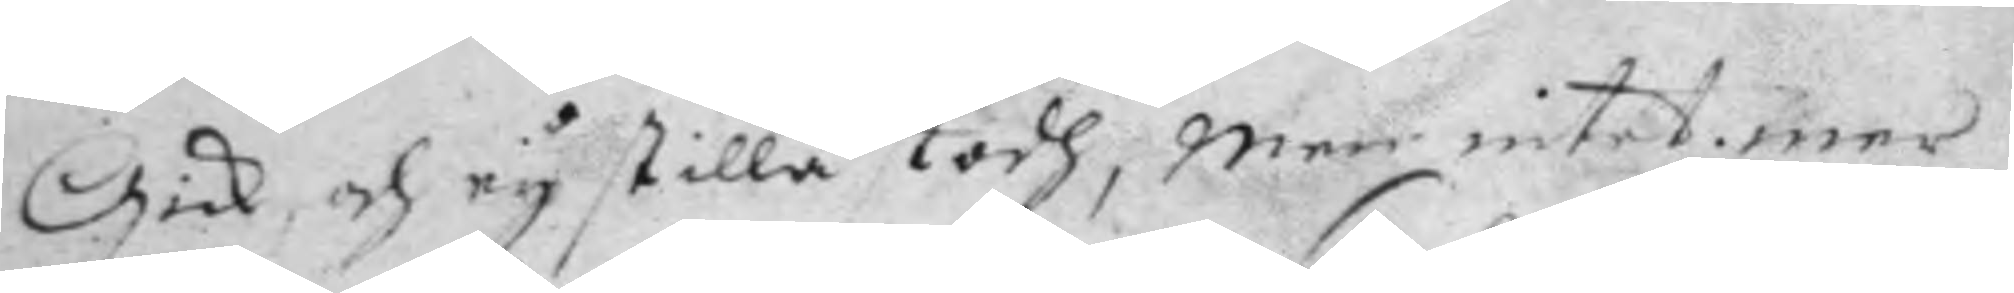Gick, och ey stilla stodh, men intet mer,
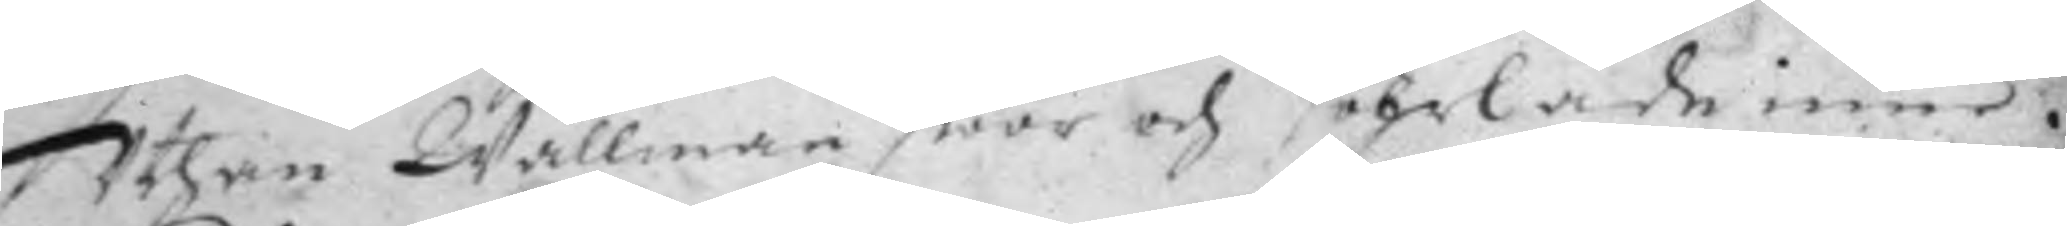Uthan Wallman swar och sohrlade inne.
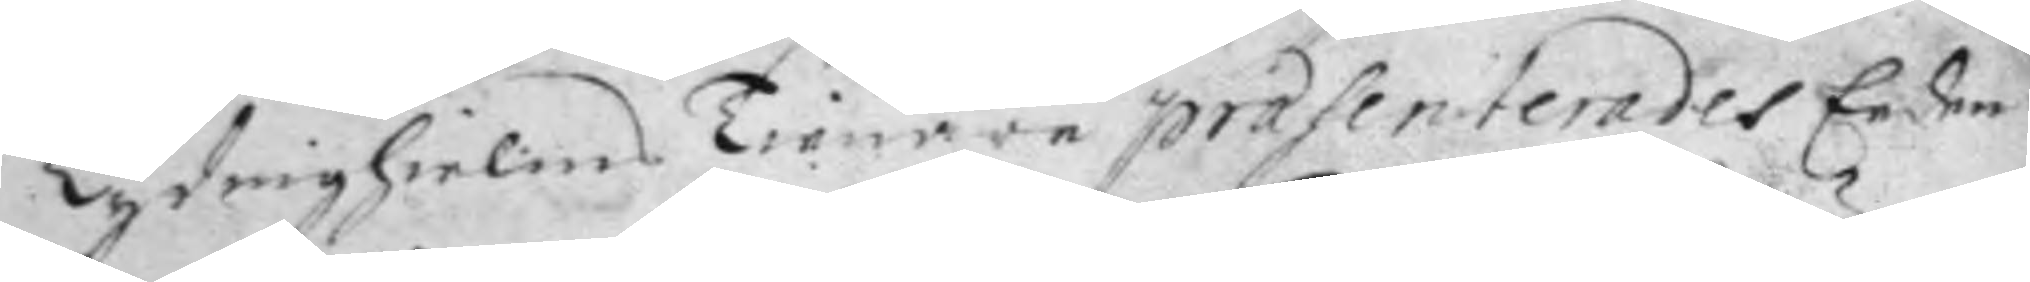Lydrighielms Tienare prasenterades Eeden
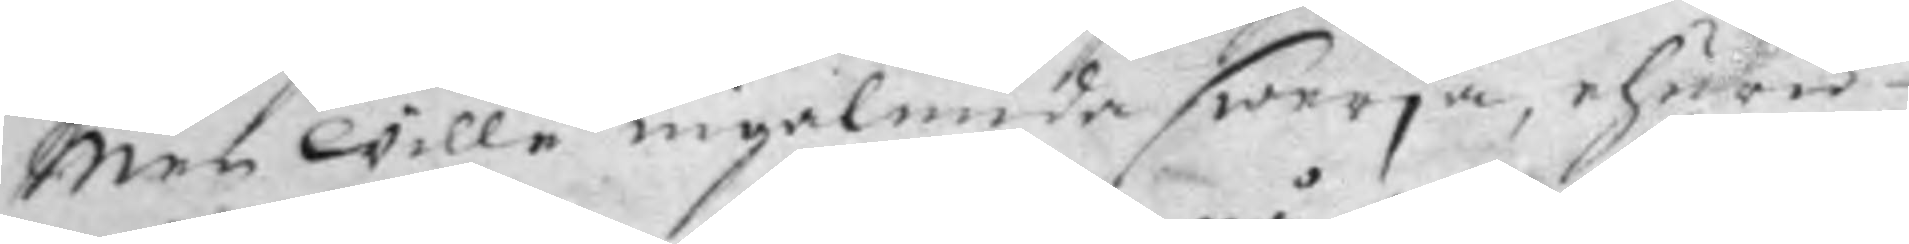Men wille ingalunda swerja, ehuru
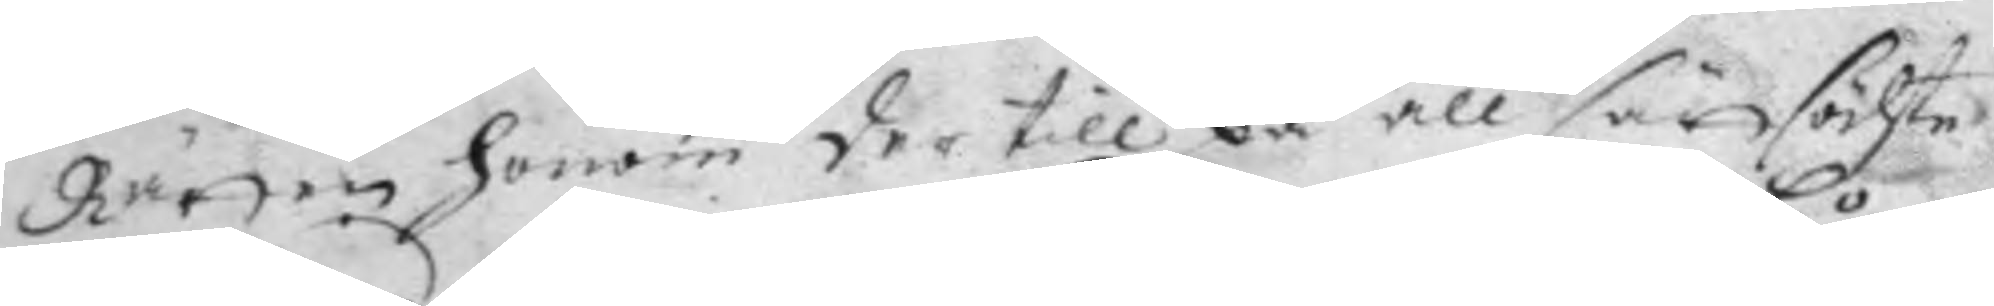Rätten honom der till på all sätt söhte
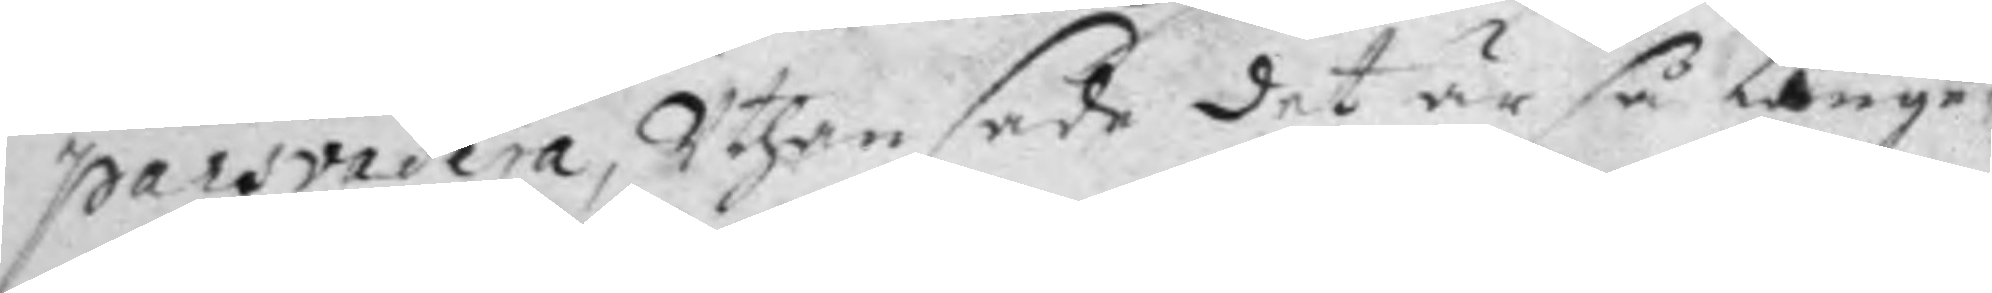parsvadera, Uthan sade det är så långe,
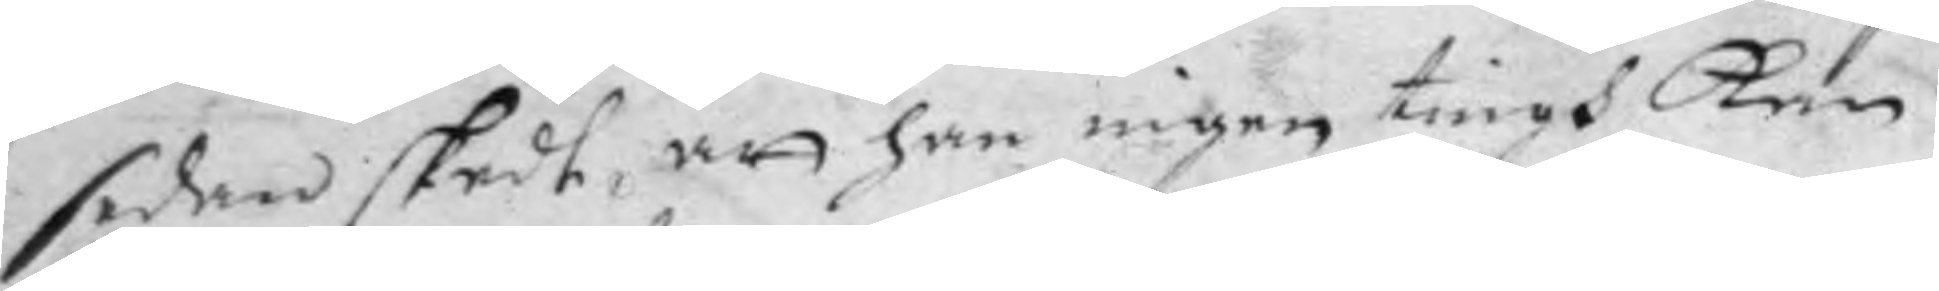sedan skedt, att han ingen tingh Kan
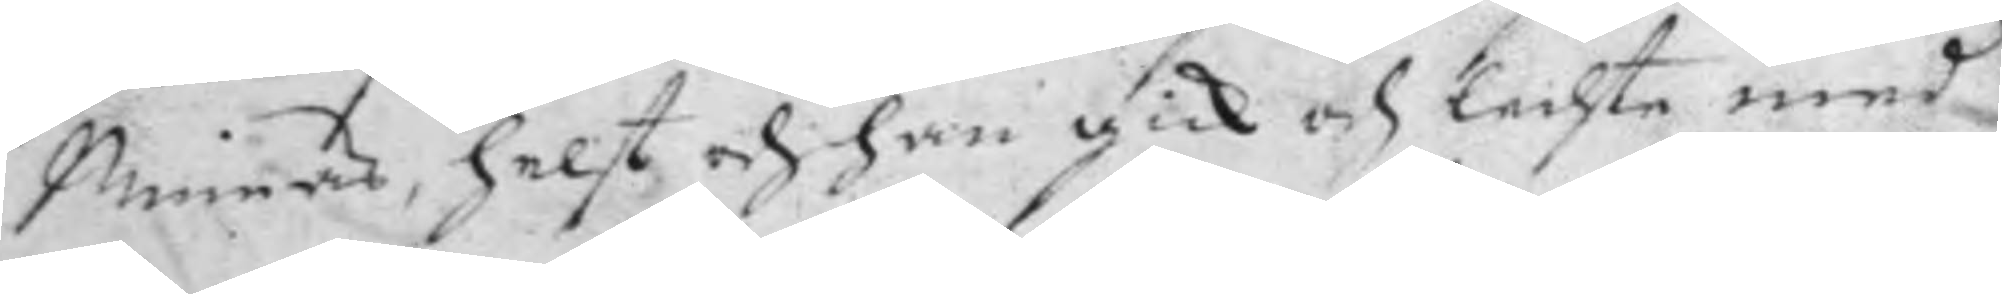Minnas, helst och han gick och lechte med
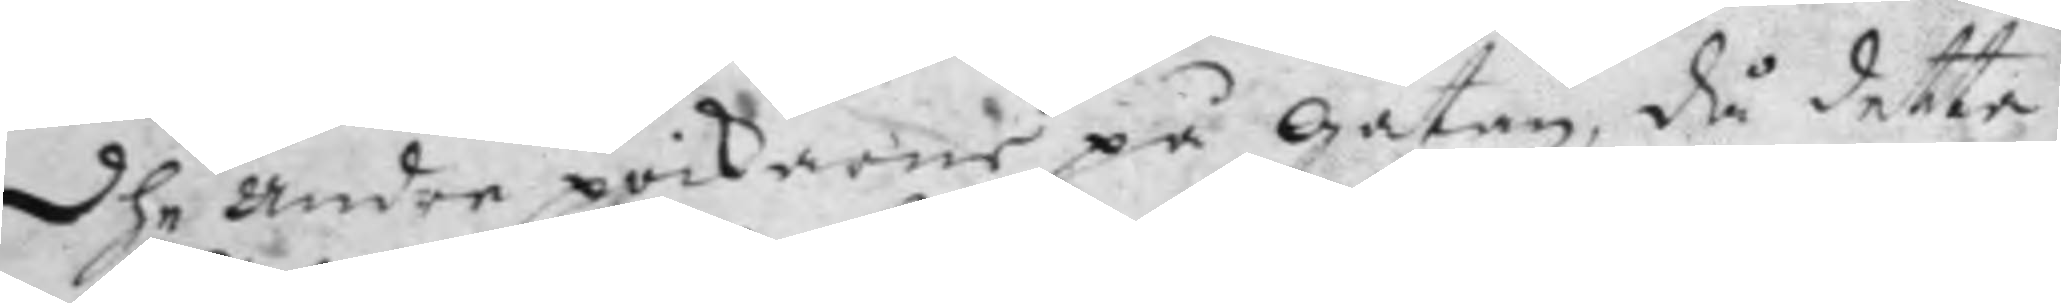dhe andre poikarne på gatan, då detta
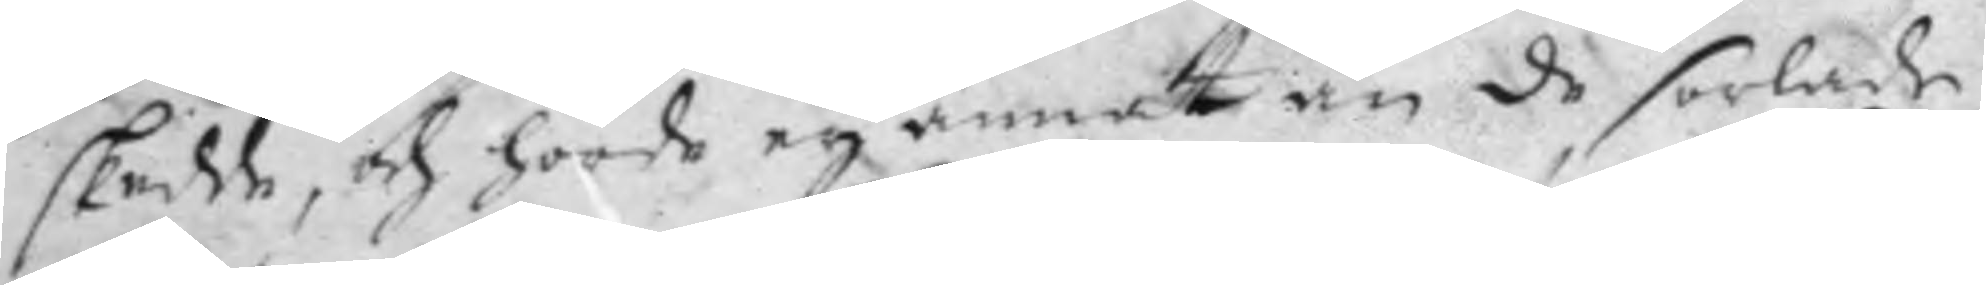skedde, och hörde ey annat än de sorlade
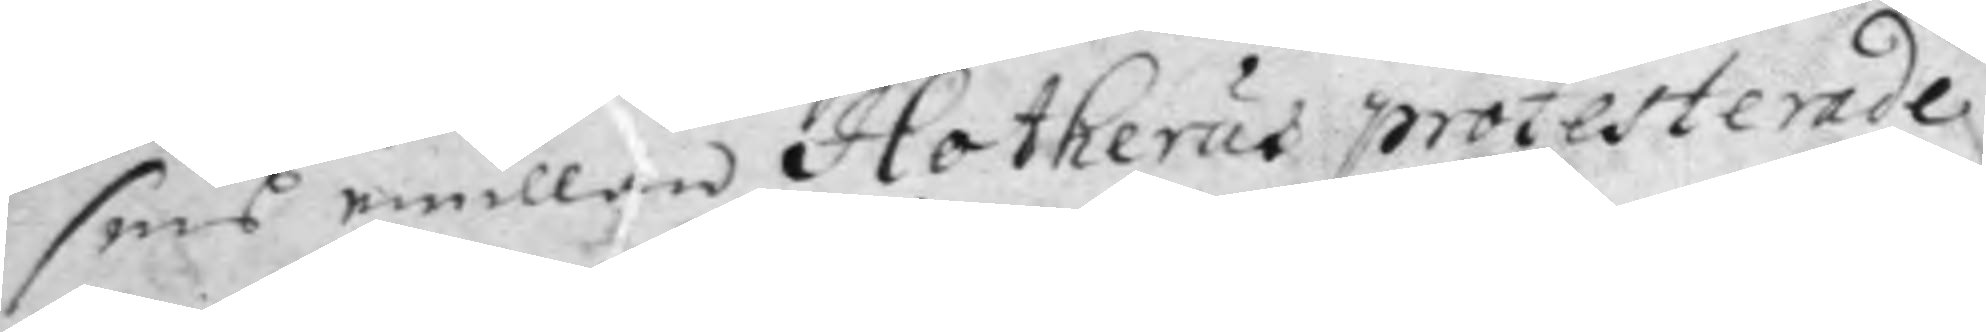sins emillan Hotherus protesterade
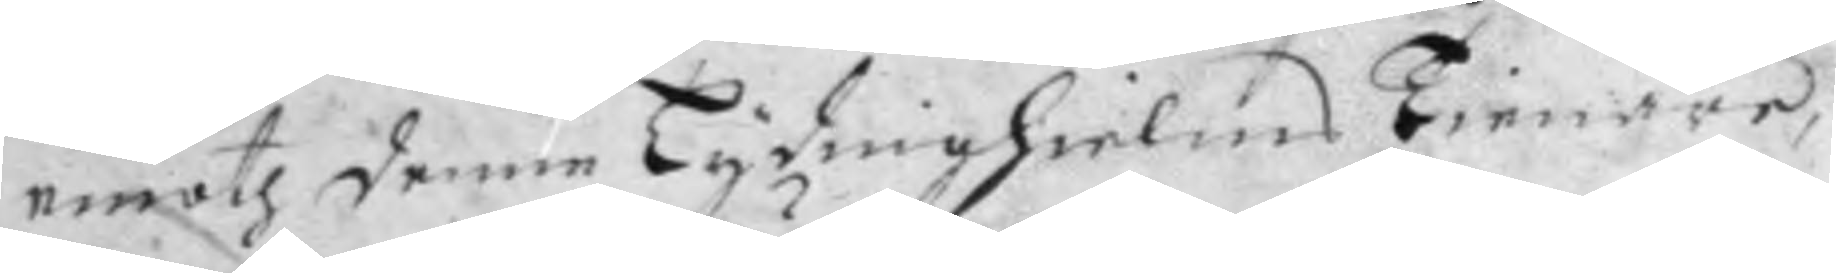emoth denne Lydnighielms Tienare,
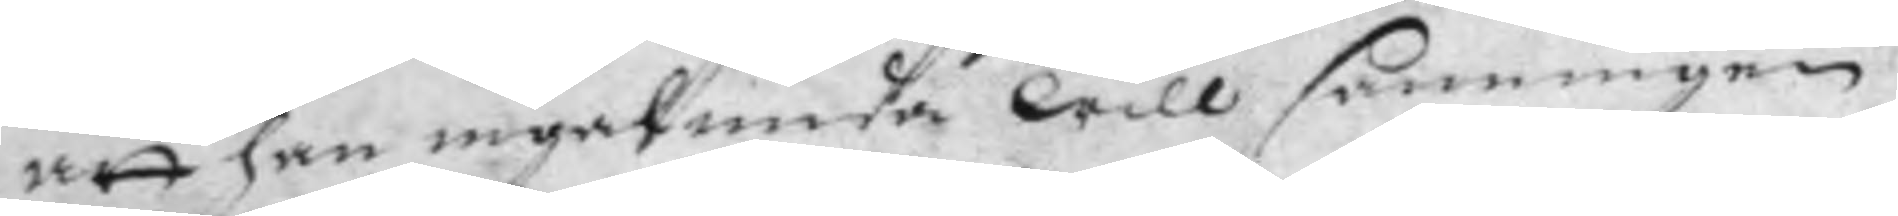att han ingalunda will sanningen
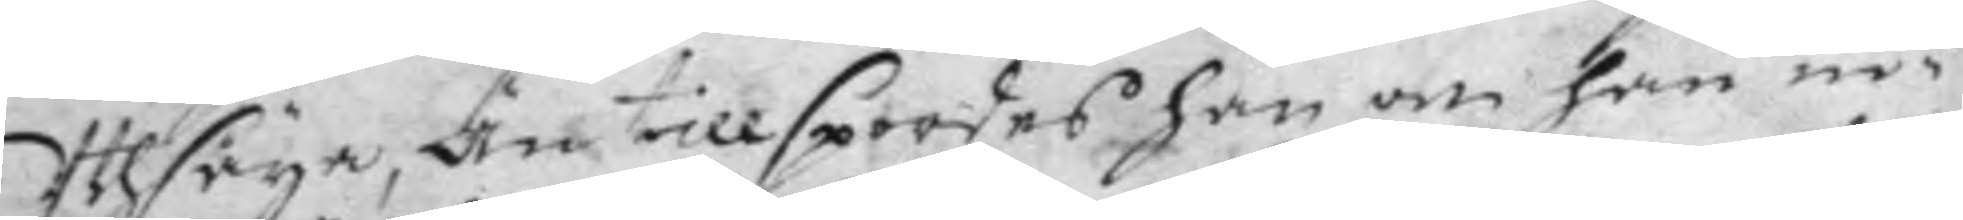Uhtsäya, Än tillspordes han om han in¬
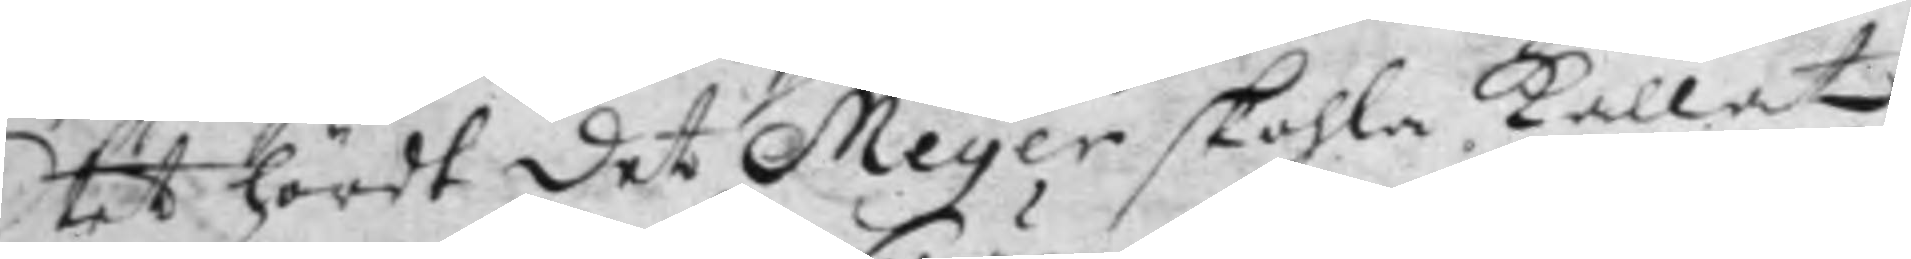tet hördt det Meyer skohla Kallat
